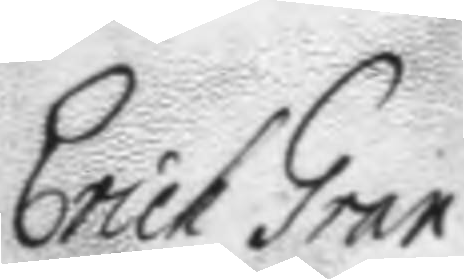Erich Gran
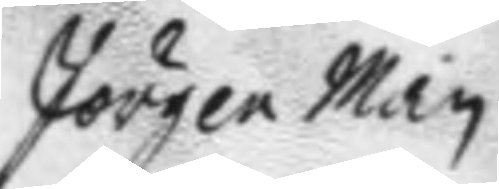Jörgen Man
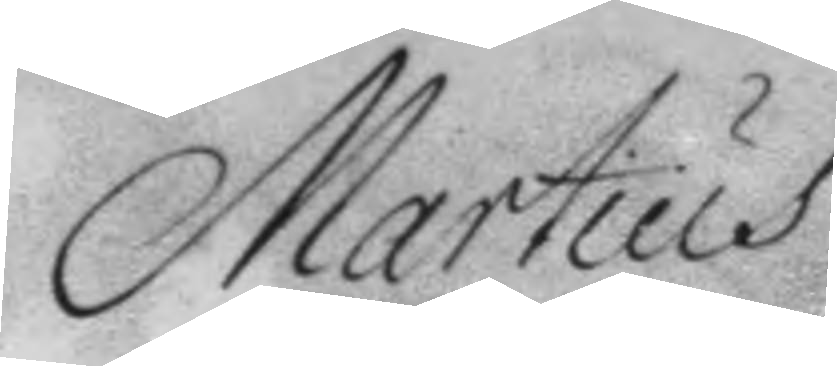Martius
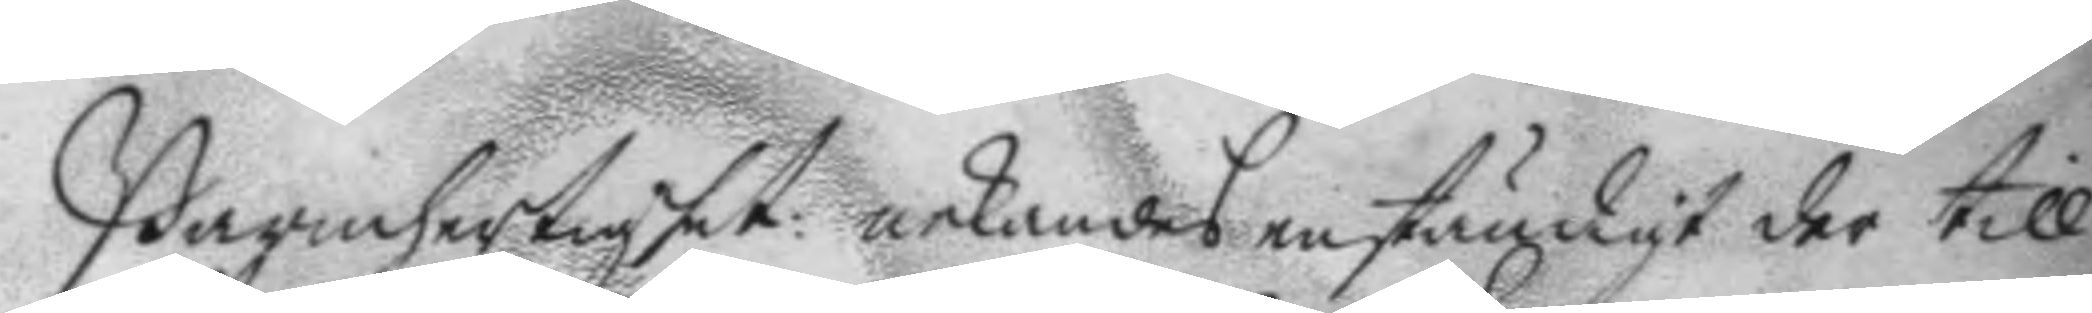Barmhertighet: nekandes enständigt der till
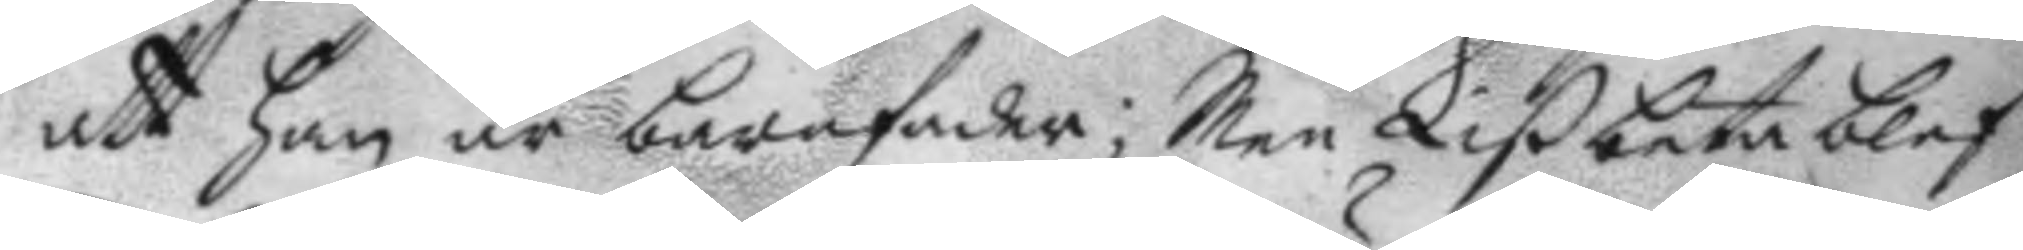att han är barnfader; Men Lißbeta blef
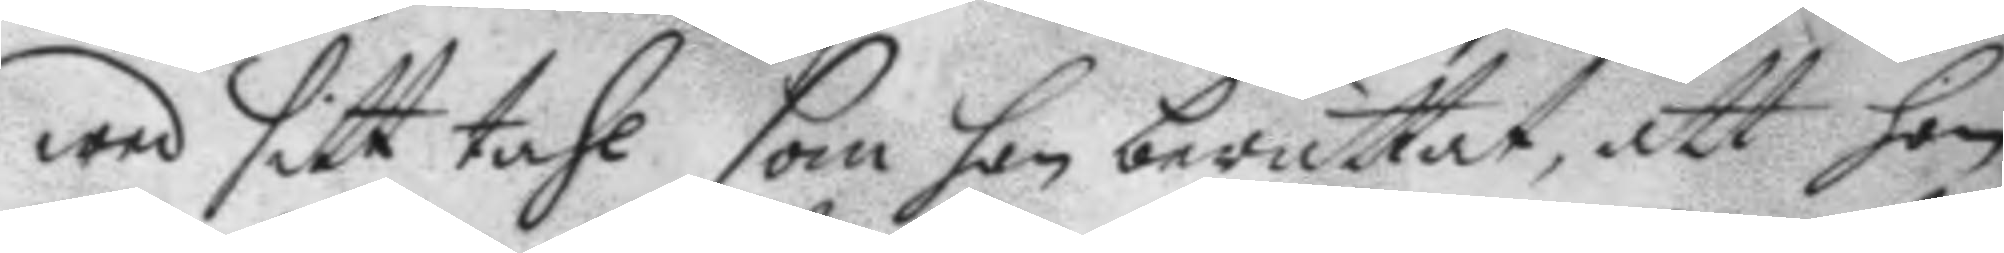wed sitt tahl som hon berättat, att hon
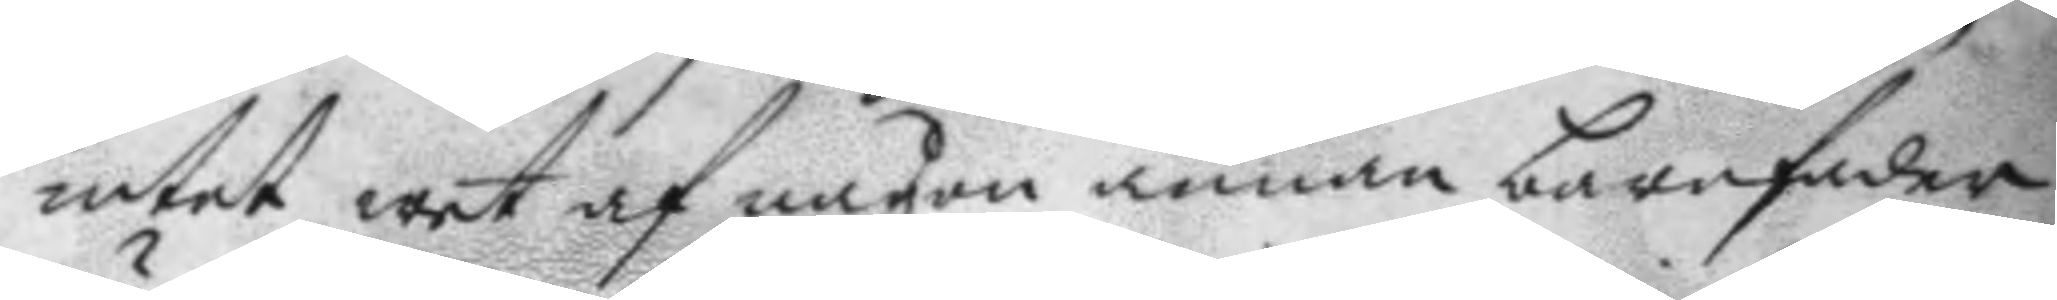intet wet af någon annan barnfader
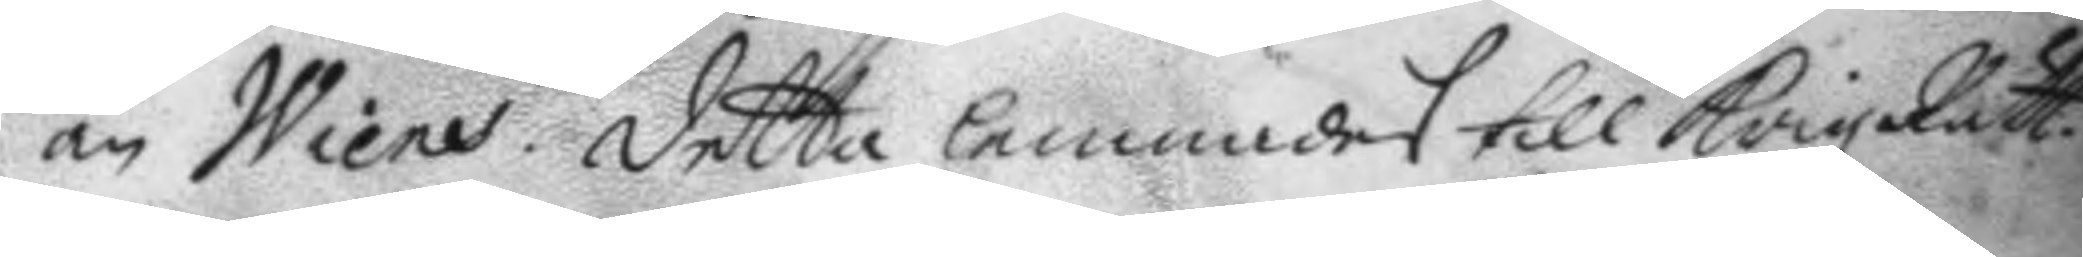än Wiens. detta lemnades till Krigz Rätt.
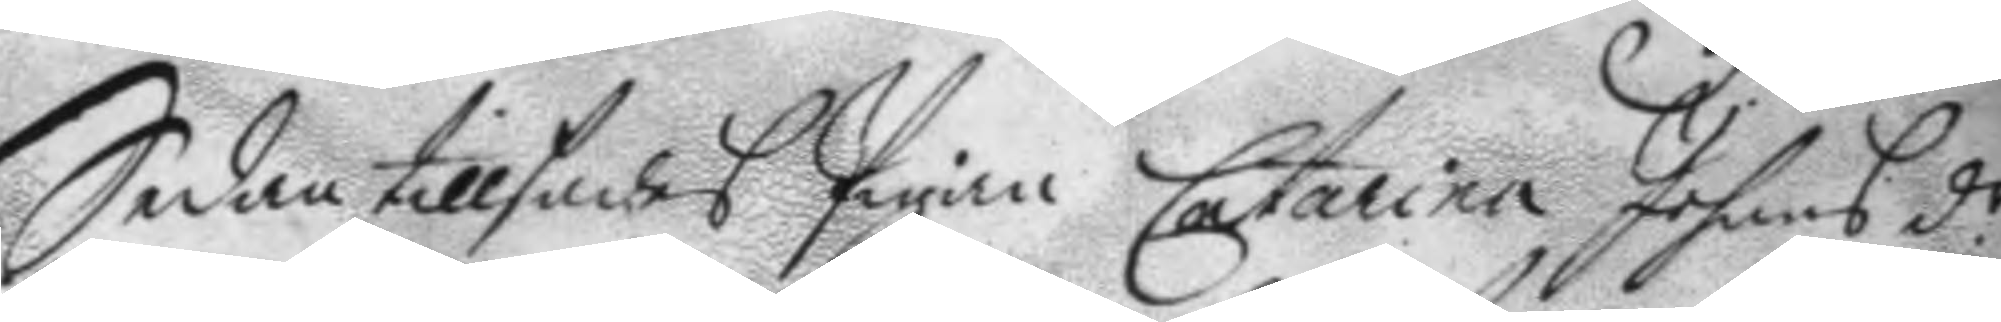Sedan tillsades Pigan Catarina Johans dr 
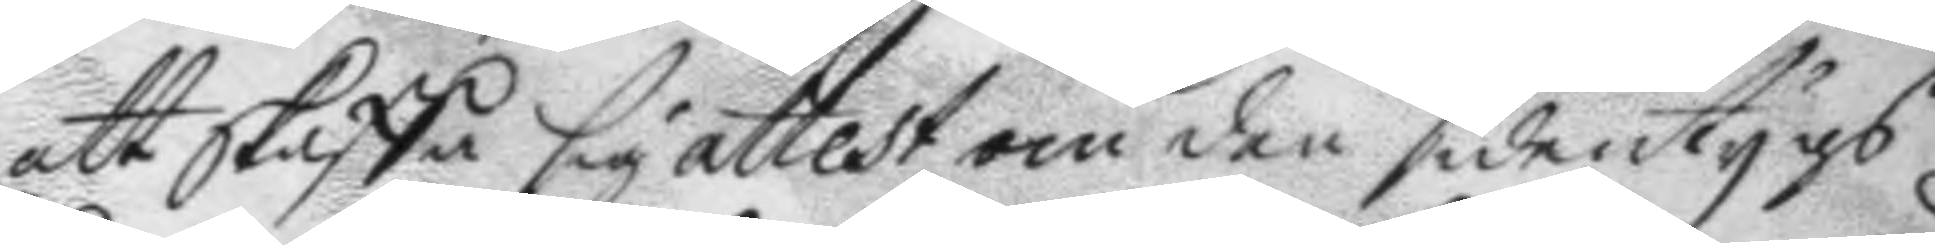att skaffa sig attest om den sidentygs
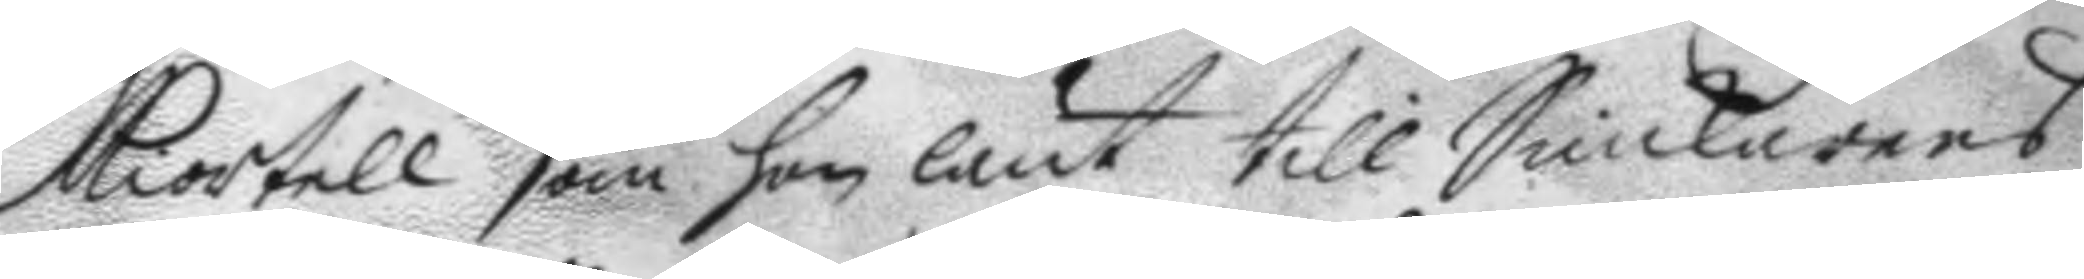kiortell som hon lånt till Snickarens
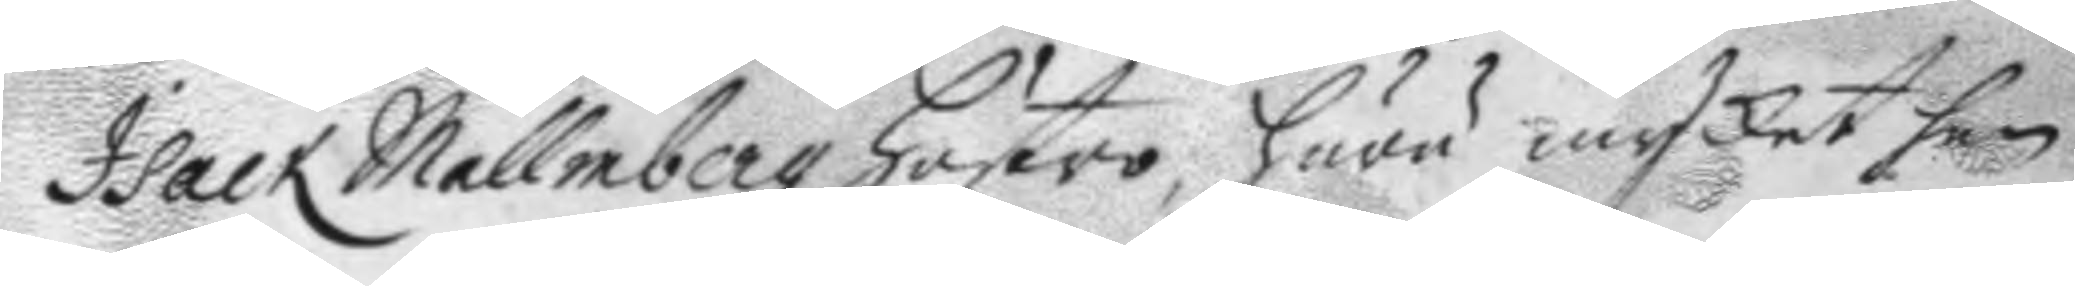Isack Mallmbergz hustro, huru mycket hon
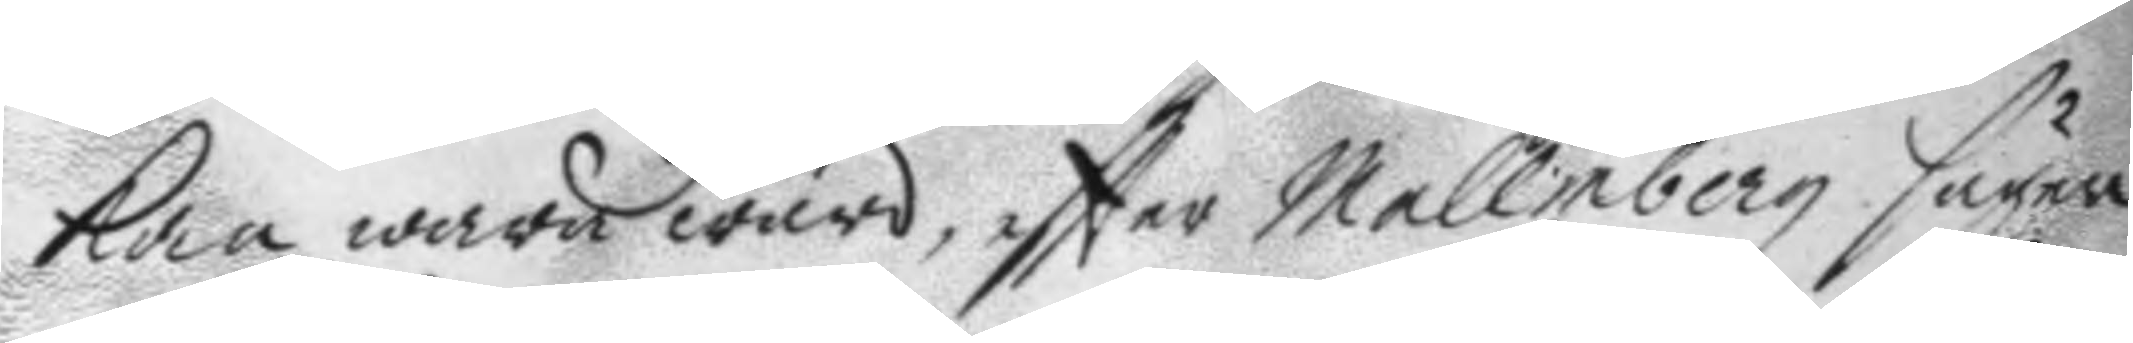kan wara ward, eftter Mallmberg säger
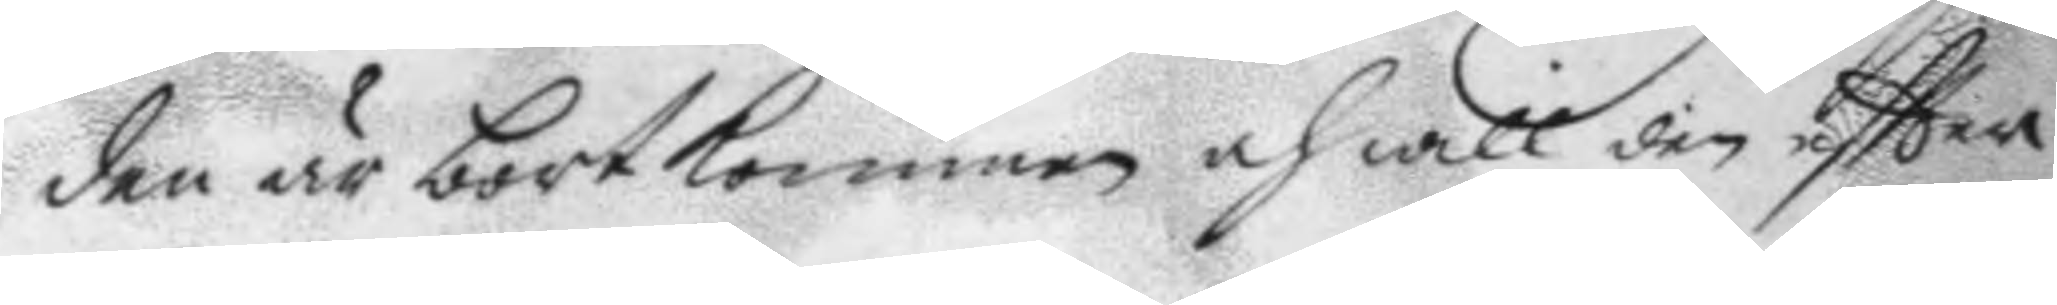den är bortkommen och witl den eftter
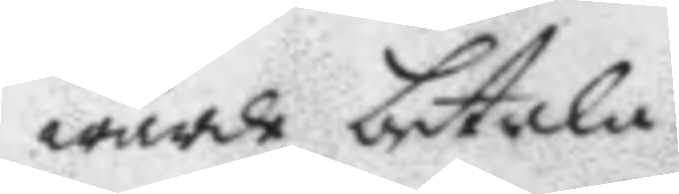wärde betala.
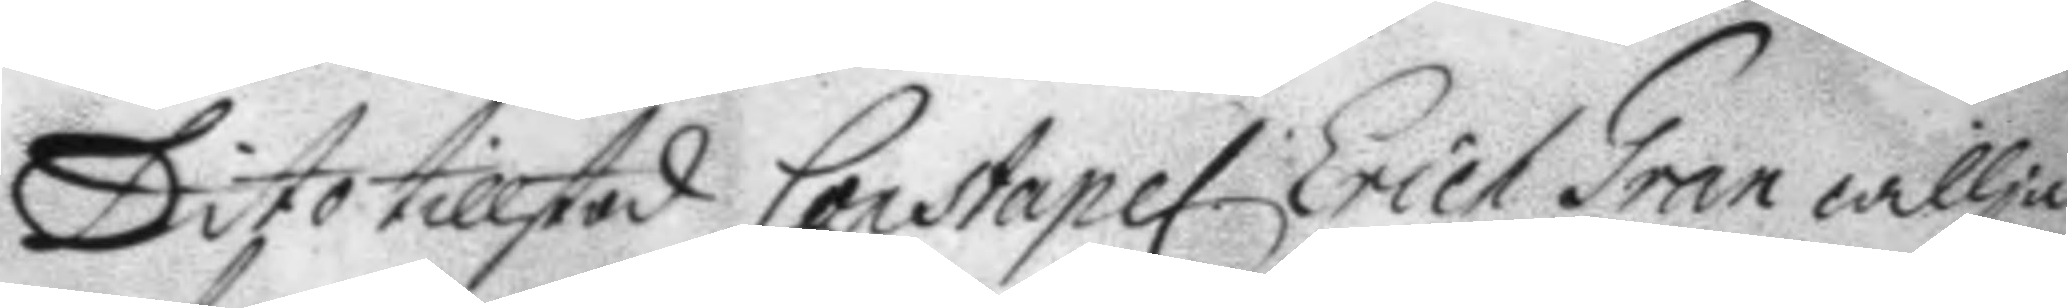Dito tillstod Constapel Erich Gran willja 
